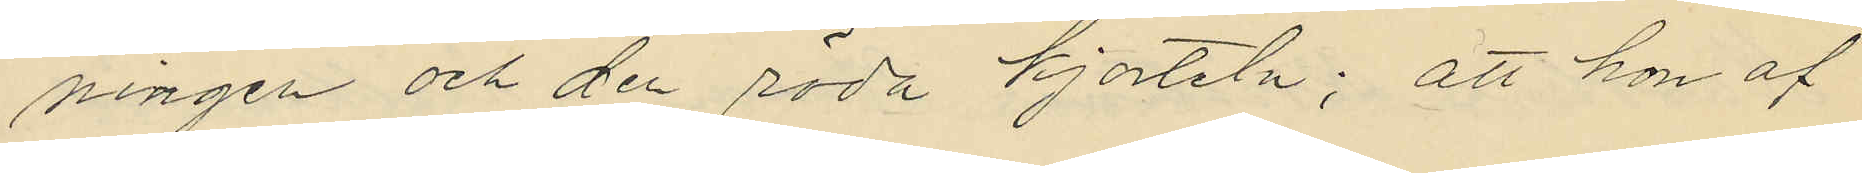ningen och den röda kjorteln; att hon af
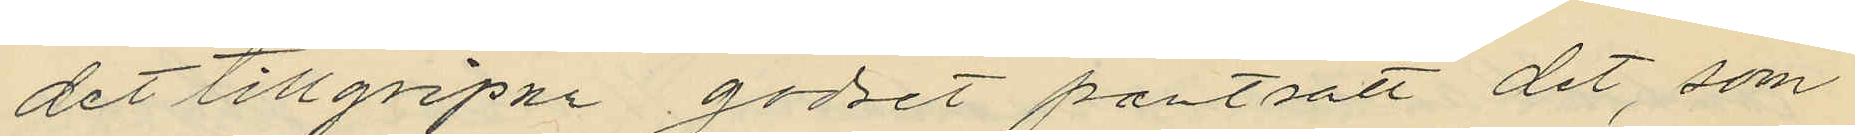det tillgripna godset pantsatt det, som
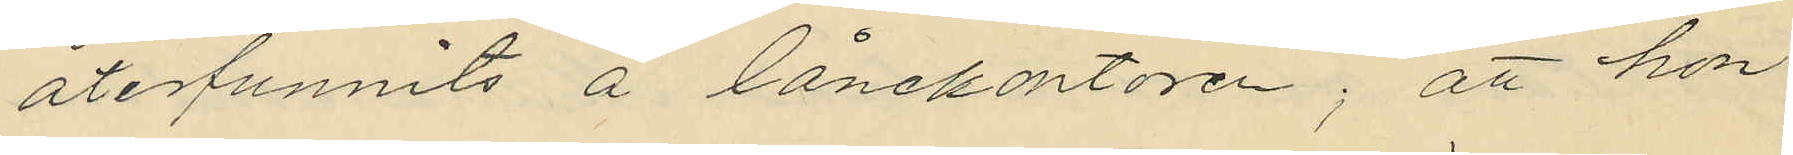återfunnits å lånekontoren; att hon
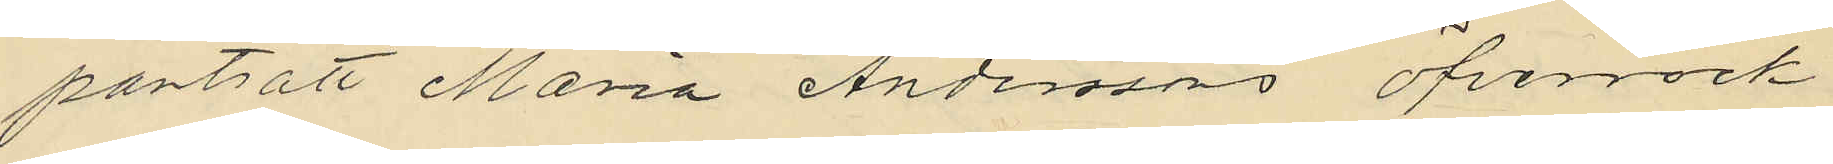pantsatt Maria Andersons öfverrock
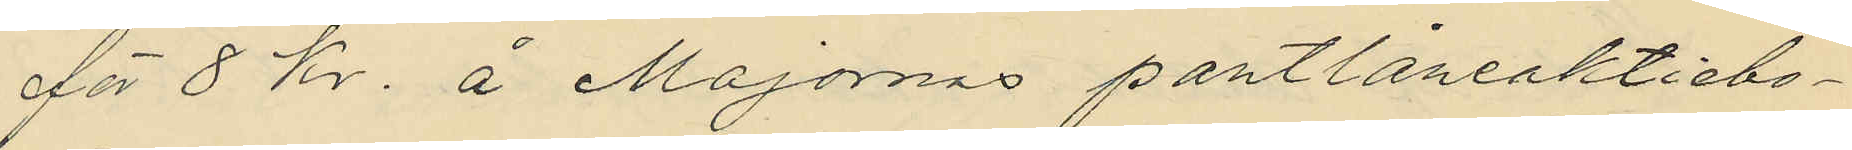för 8 kr. å Majornas pantlåneaktiebo¬
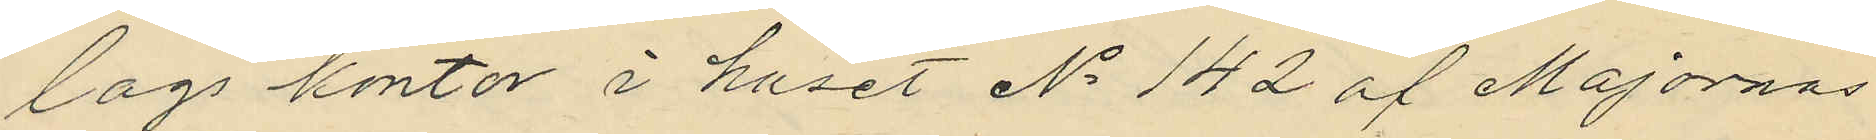lags kontor i huset No 142 af Majornas
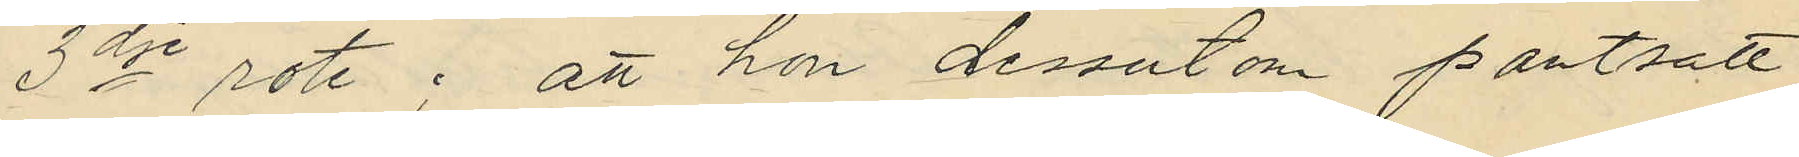3dje rote; att hon dessutom pantsatt
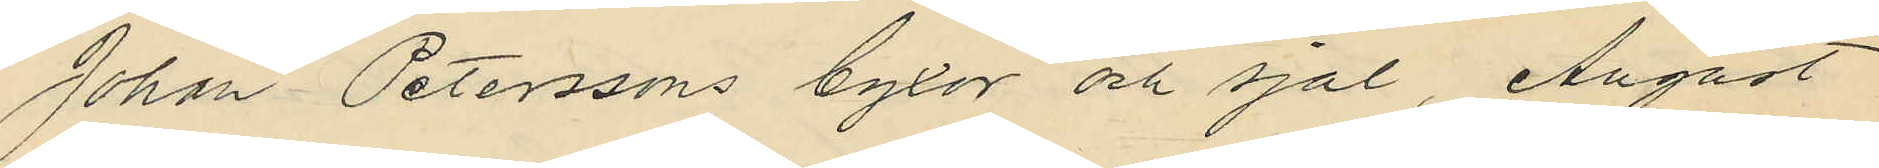Johan Peterssons byxor och sjal, August
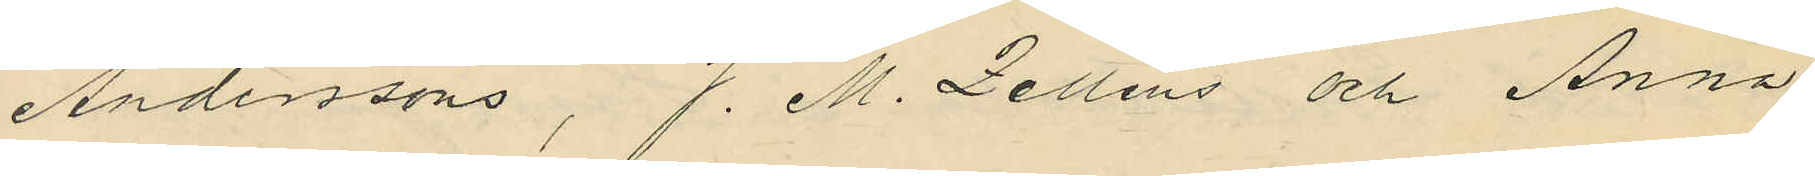Anderssons, J. M. Zelléns och Anna
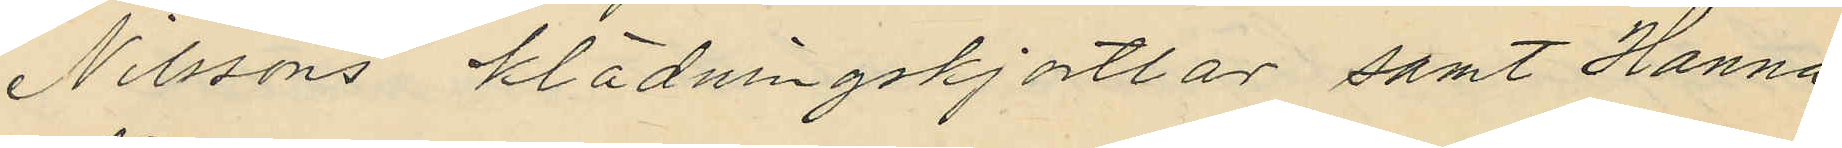Nilssons klädningskjortlar samt Hanna
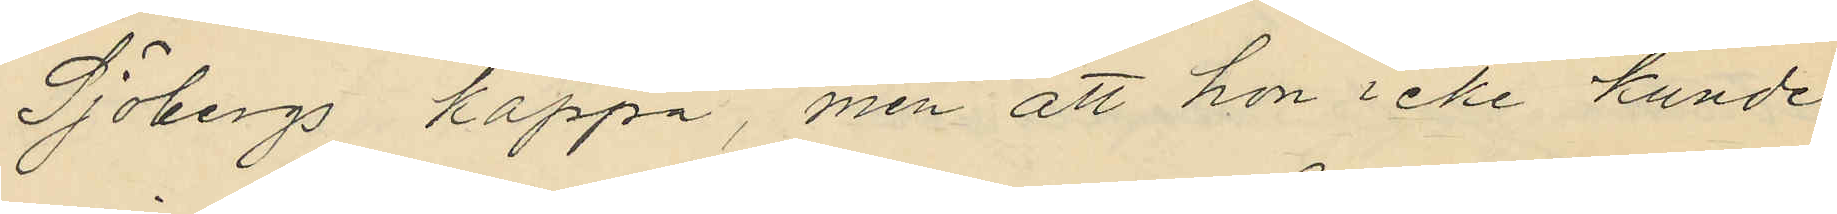Sjöbergs kappa, men att hon icke kunde
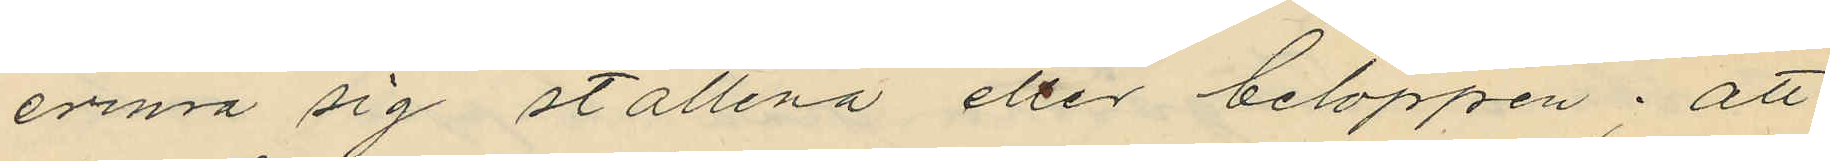erinra sig ställena eller beloppen; att
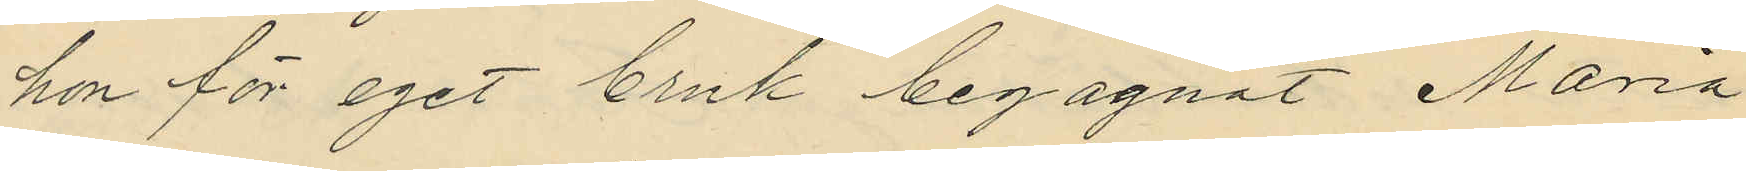hon för eget bruk begagnat Maria
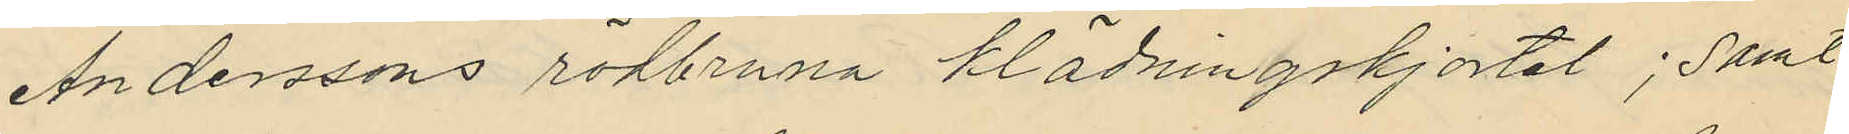Anderssons rödbruna klädningskjortel; samt
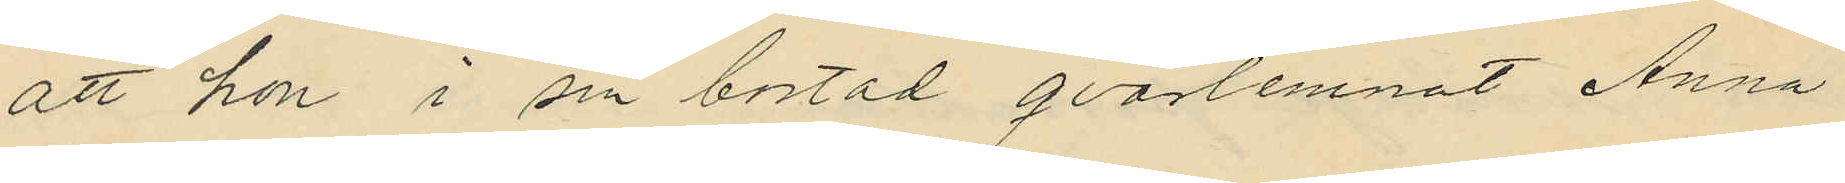att hon i sin bostad qvarlemnat Anna
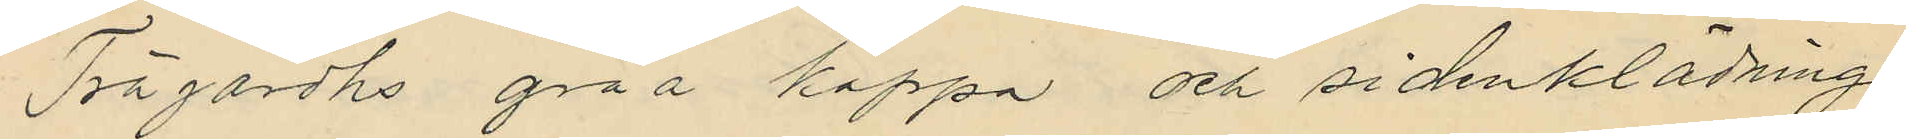Trägårdhs gråa kappa och sidenklädning
